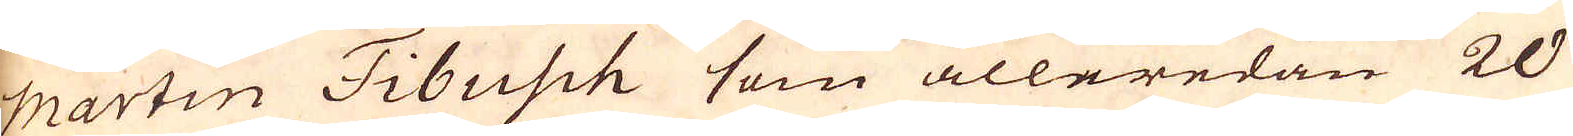Martin Fibusch som alleredan 20
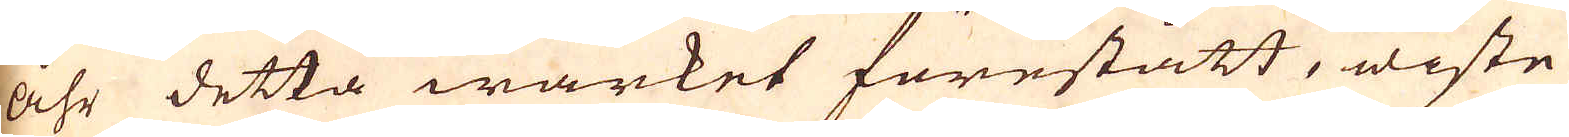åhr detta wärket förestått, wiste
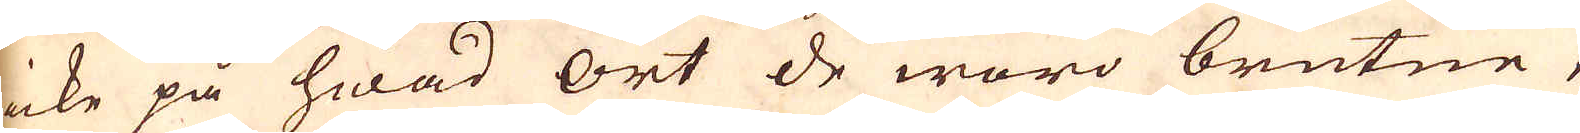icke på hwad ort de woro brutne,
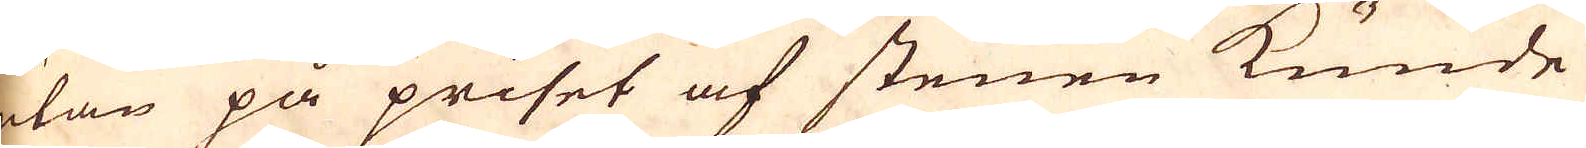utan på priset af stenen kunde
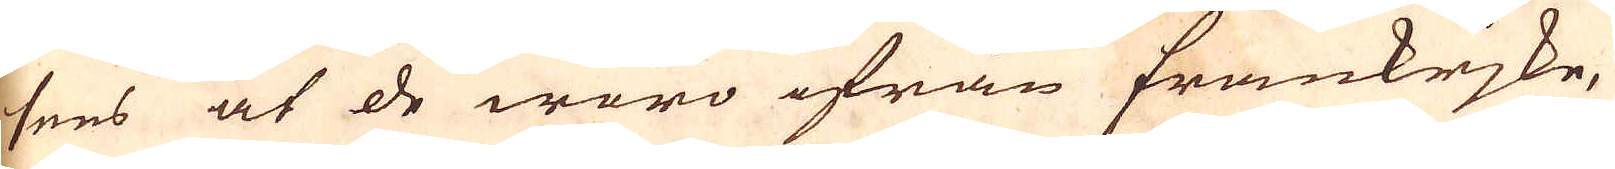sees at de woro ifrån Frankrjke,
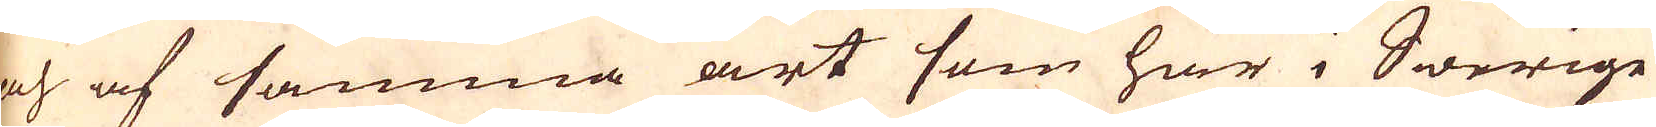och af samma art som här i Swerige
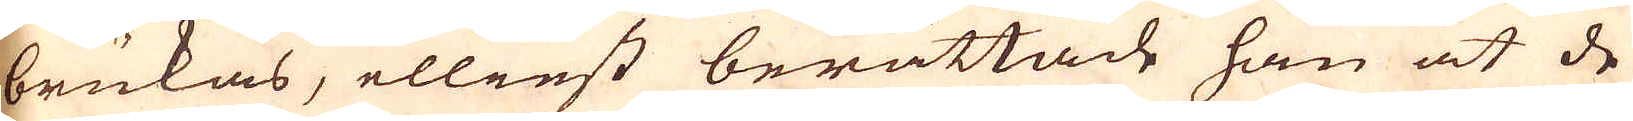brukas, elliest berättade han at de
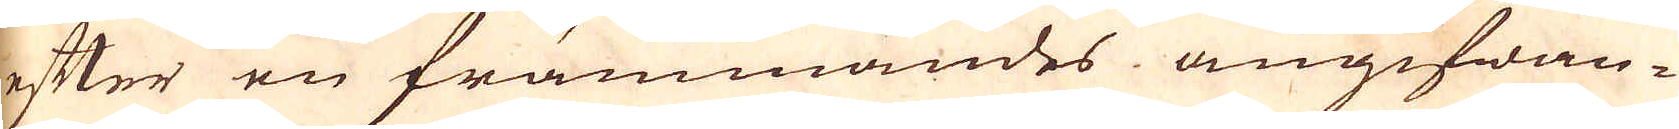efter en främmandes angifwan-
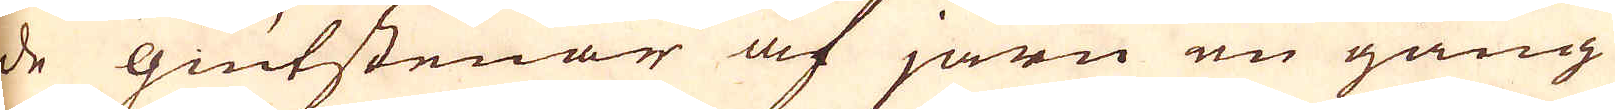de giutstenar af järn en gång
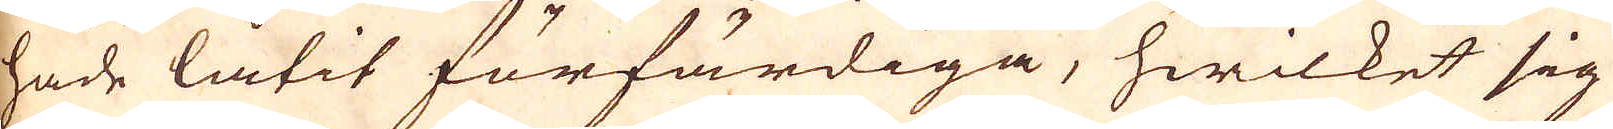hade låtit förfärdiga, hwilket sig
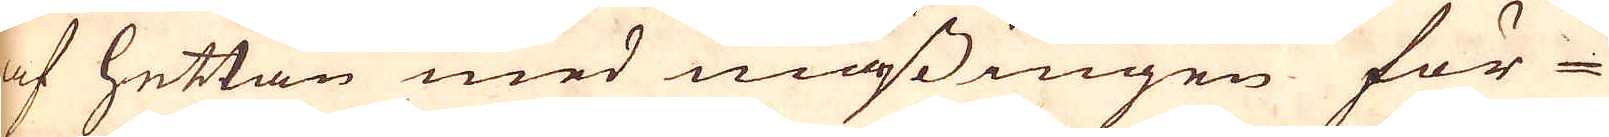af hettan med mässingen för-
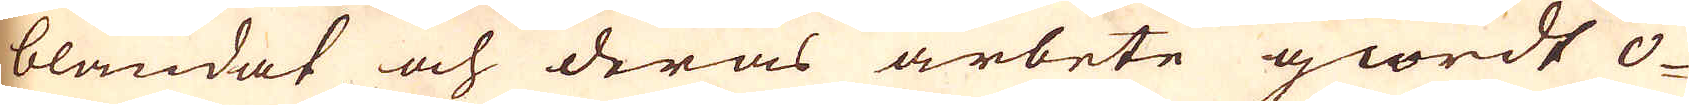blandat och deras arbete giordt o-
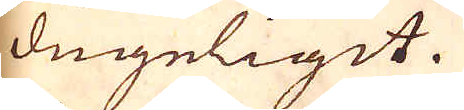dugeligit.
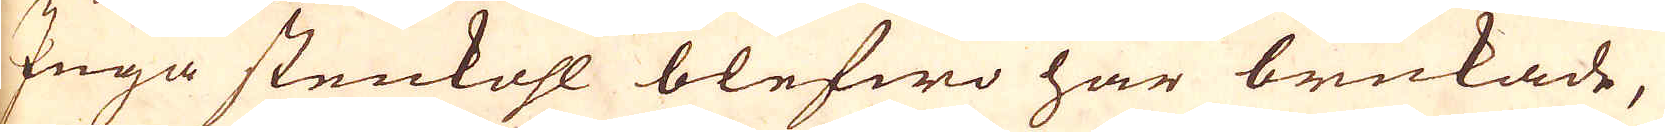Inga stenkohl blefwo har brukade,
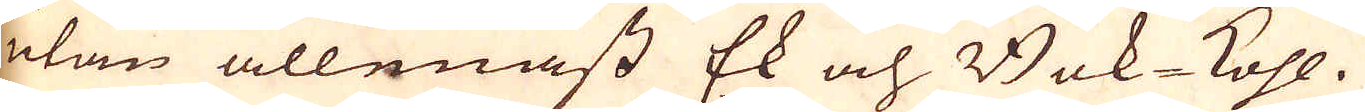utan allenast Ek och Bok-kohl.
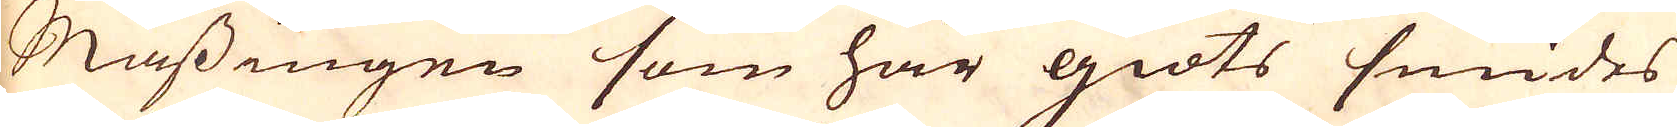Mässingen som här giöts smides
